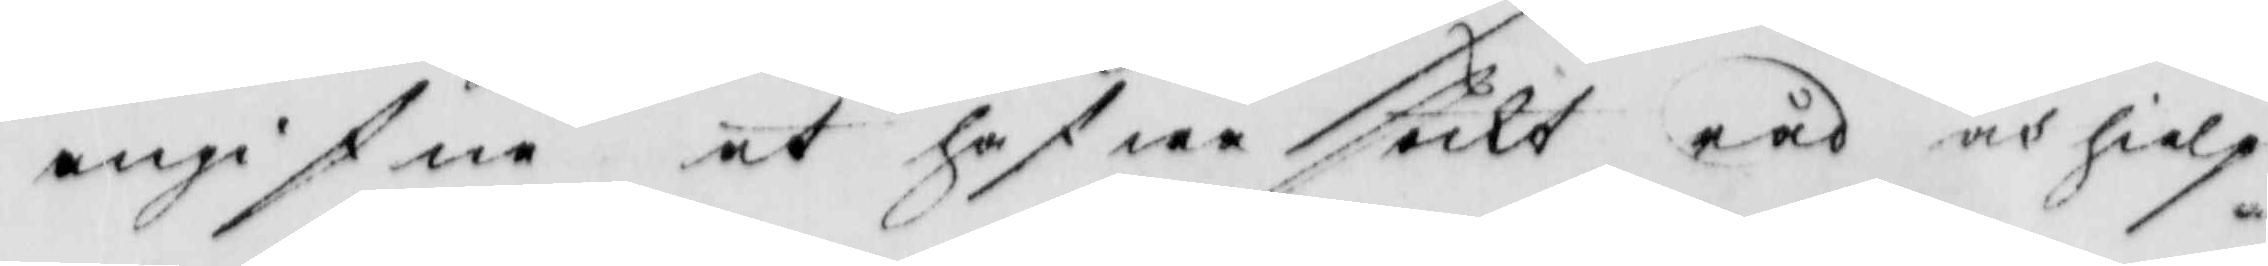angifne at hafwa sökt råd och hielp
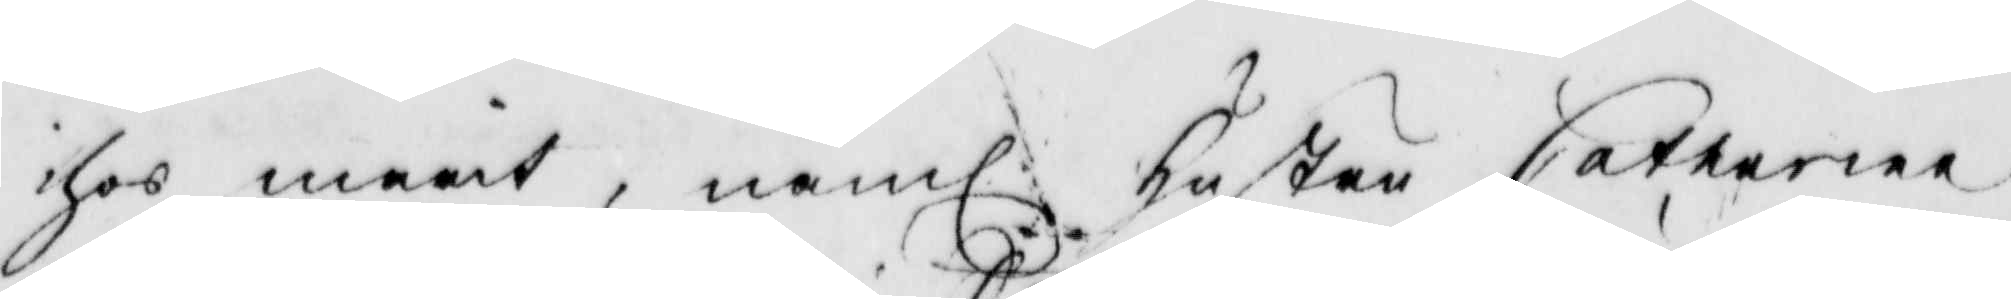ihos marit, näml: hustru Catharina
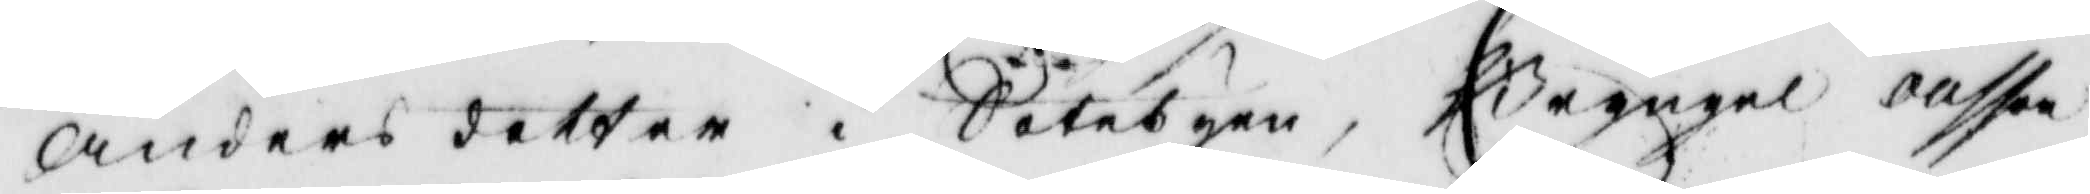Andersdotter i Sotebyen, Bryngel ollssob
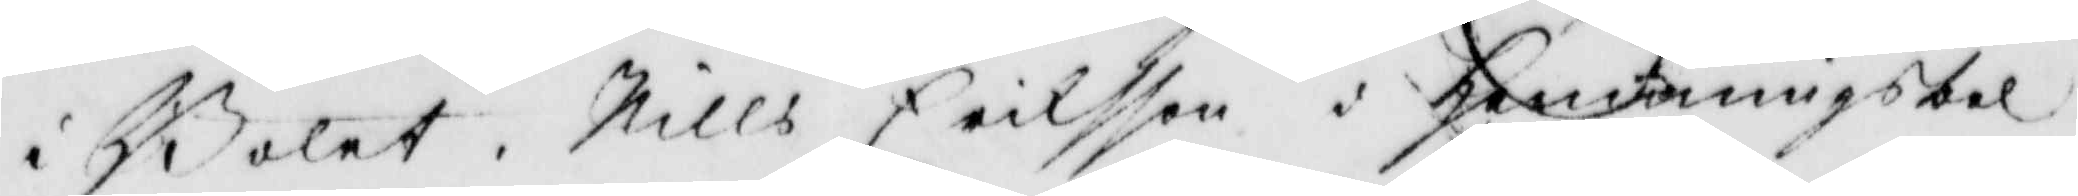i Bolet, Nills Eriksson i Hemmingsbol
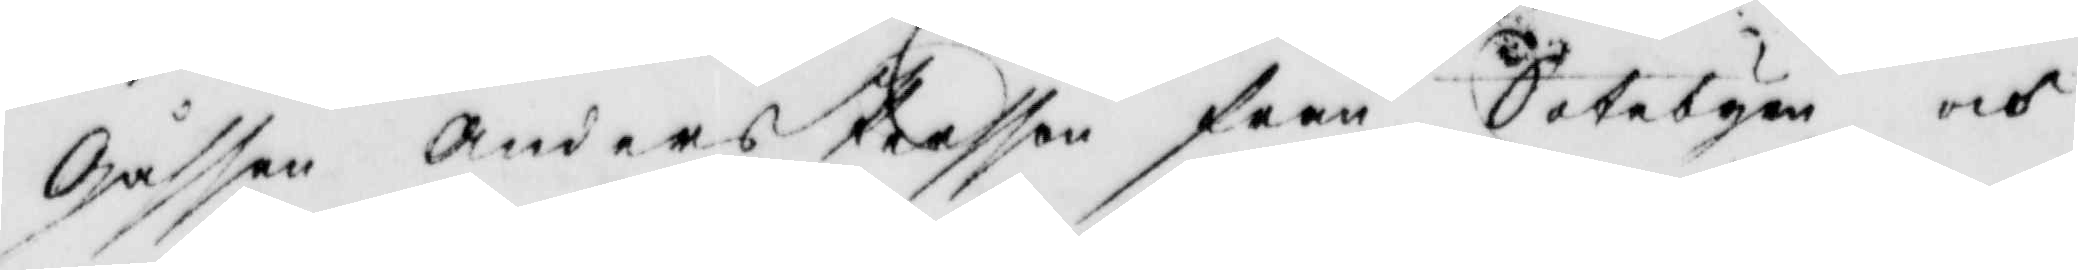Gåsen Anders Persson från Sotbyen, och
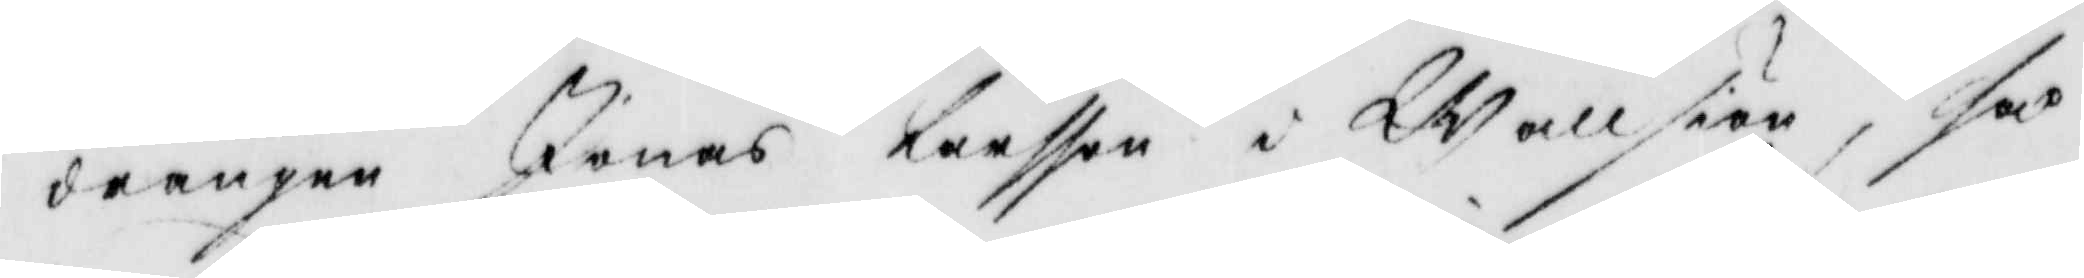drängen Jonas Larsson i Wallsiön, så
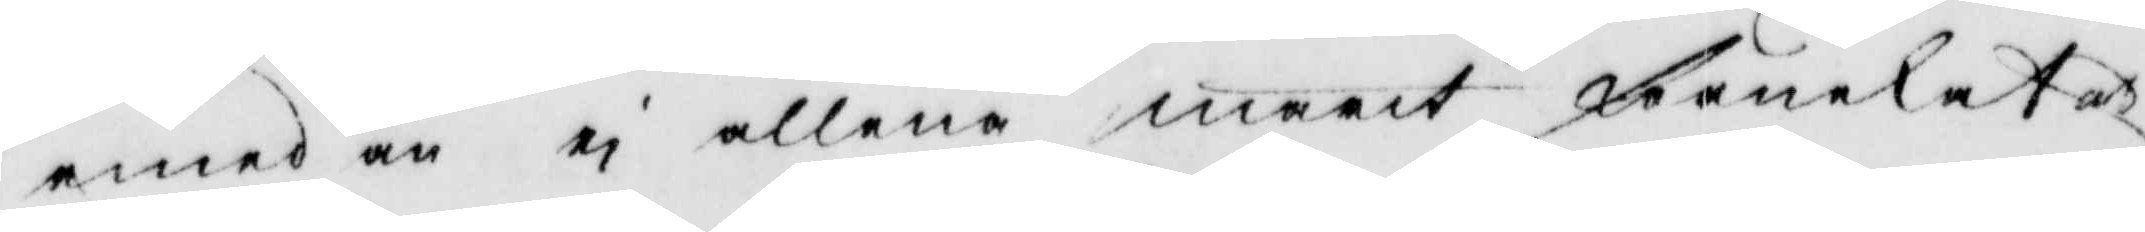emedan ei allena marit förnekat ay
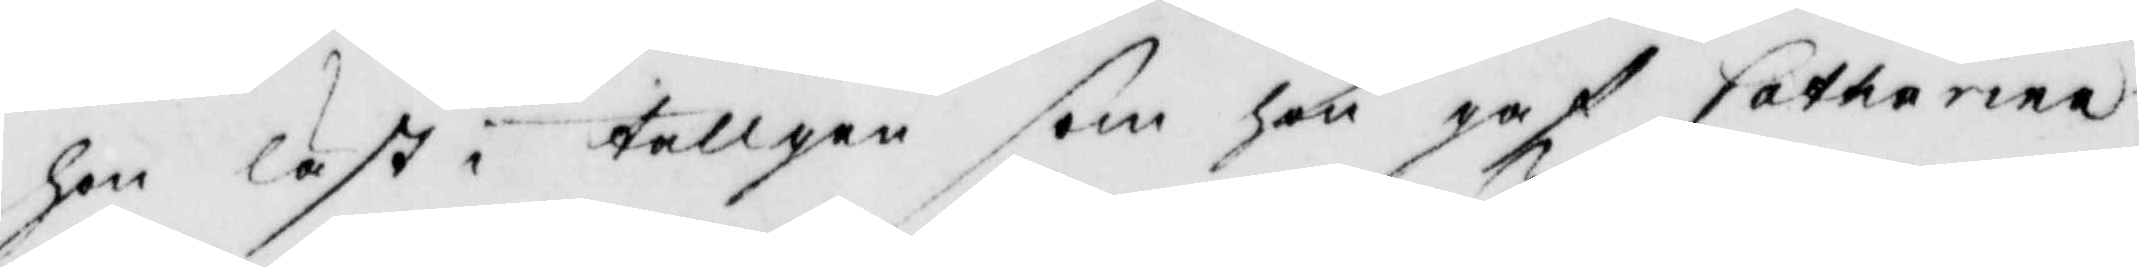hon läst i tallgen som hon gaf Catharina
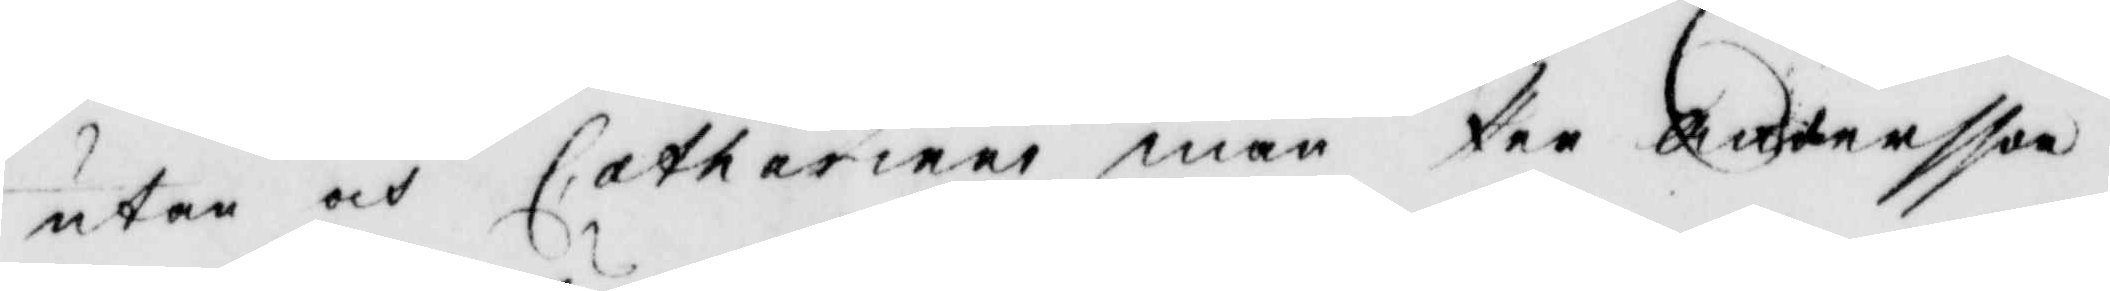utan och Catharinas man Per Andersson
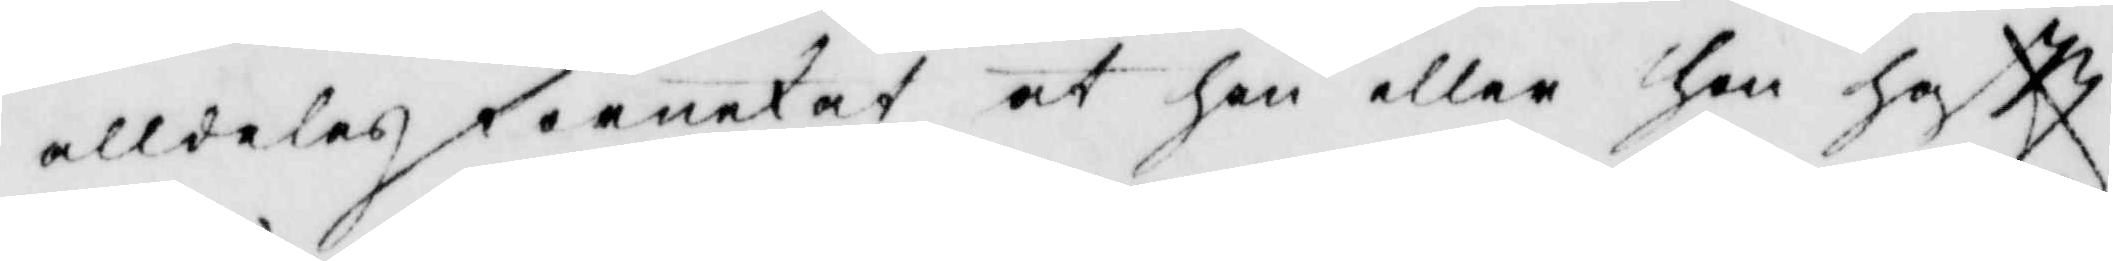alldelez förnekat at han eller hon haftt
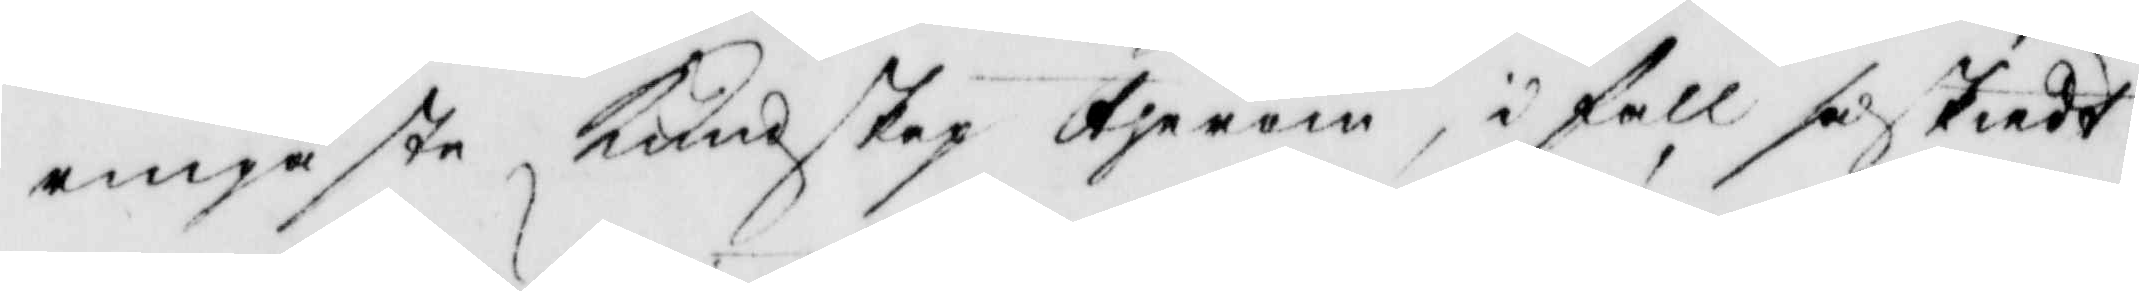ringaste Kundskap therom, i fall så skiedt
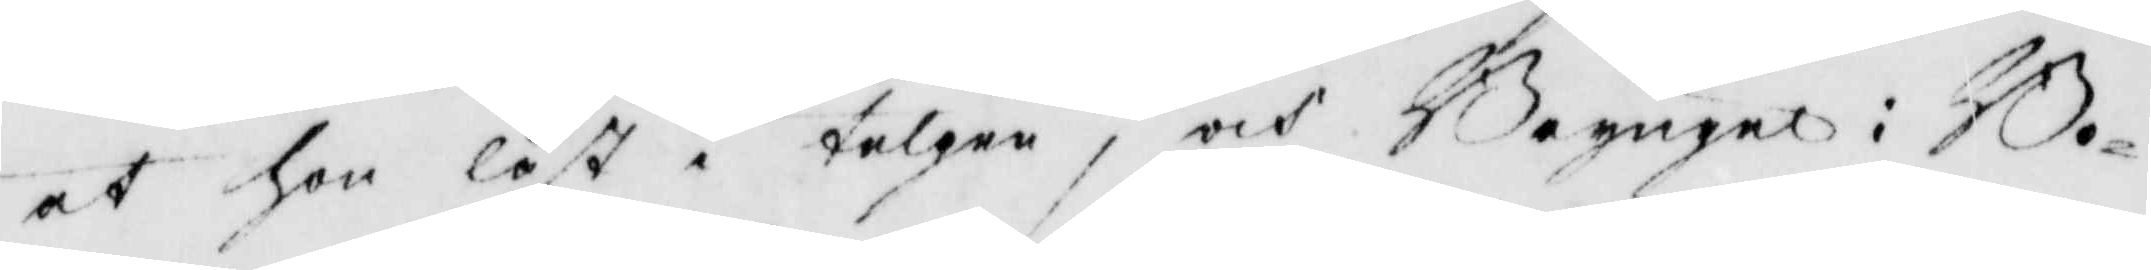at hon läst i talgen, och Bryngel i Bo¬
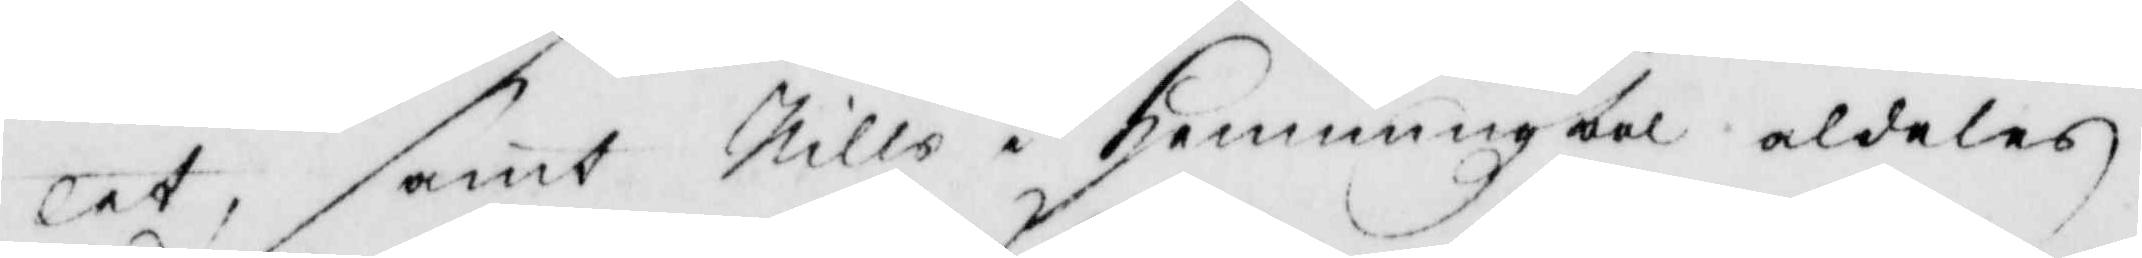letm samt Nills i hemmingzbol aldeles
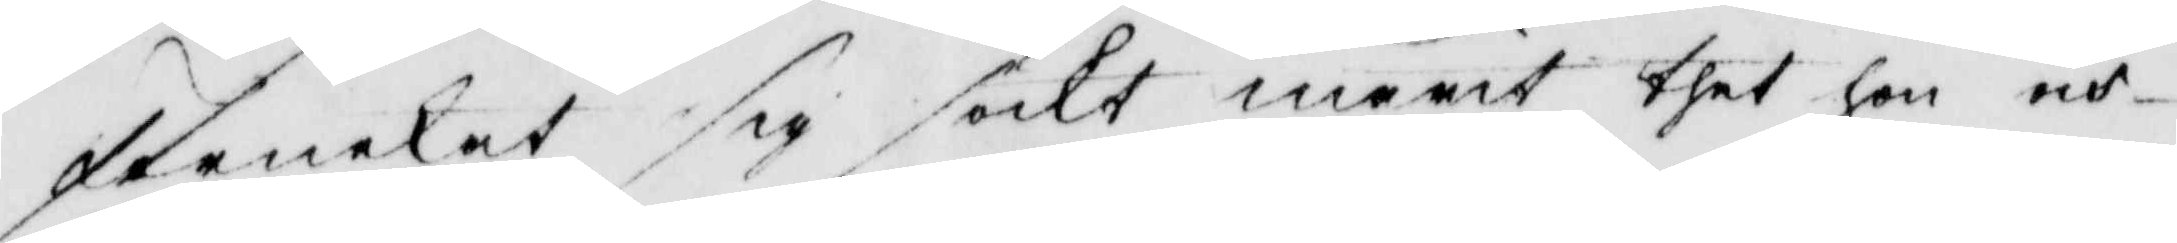förnekat sig sökt marit thet hon och
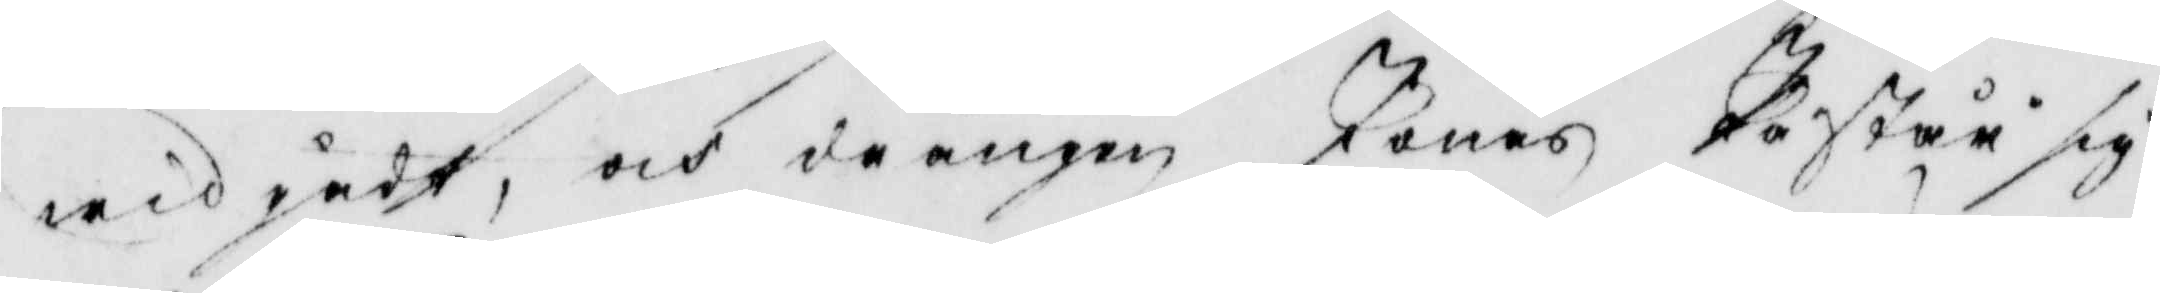widgådt, och drängen Jonas påstår sig
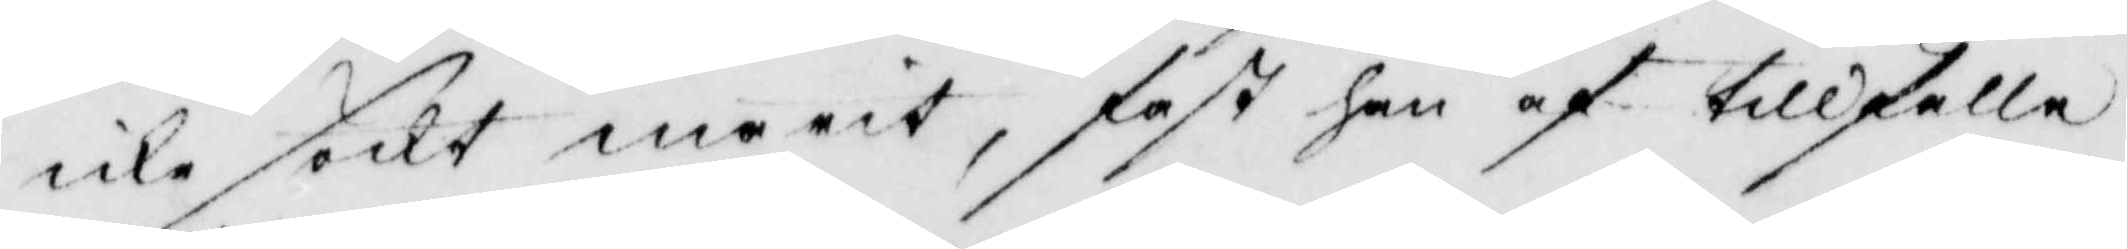icke söckt marit, fast han af tillfälle
